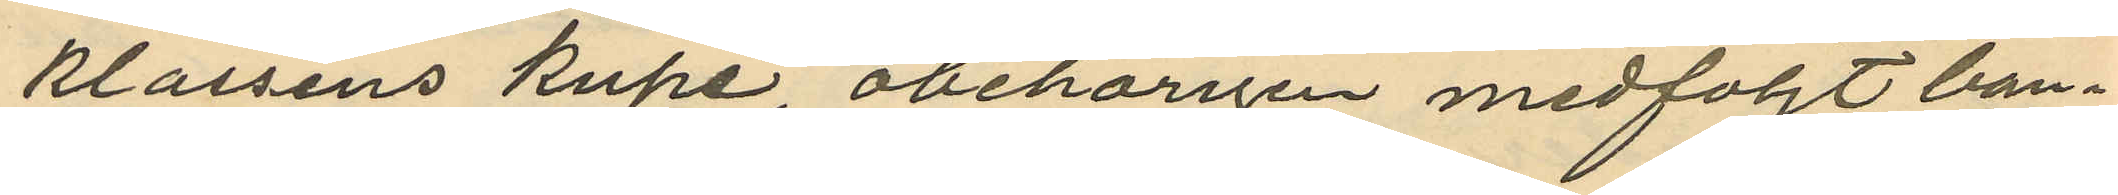klassens kupé, obehörigen medföljt ban¬
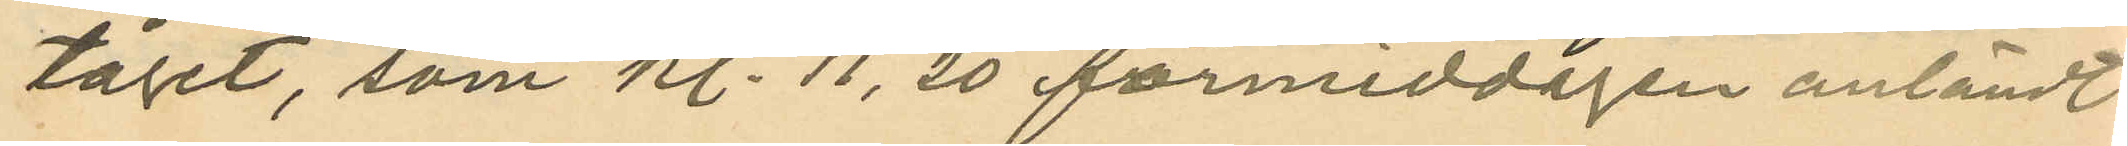tåget, som kl. 11. 20 förmiddagen anländt
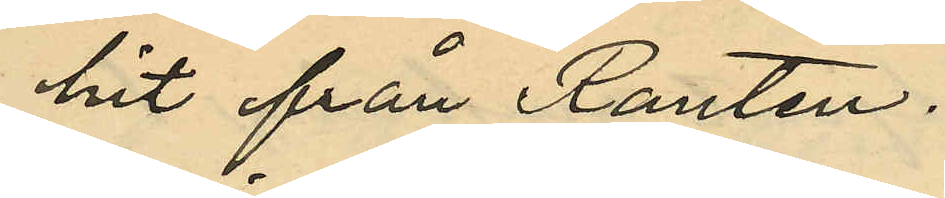hit från Ranten.
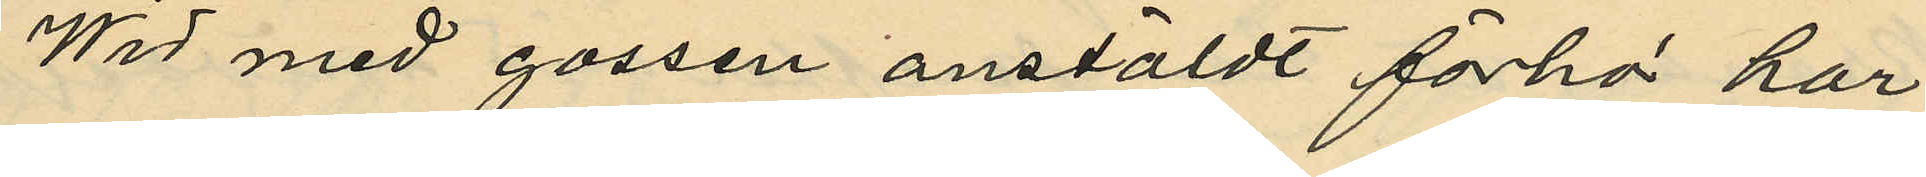Wid med gossen anstäldt förhör har
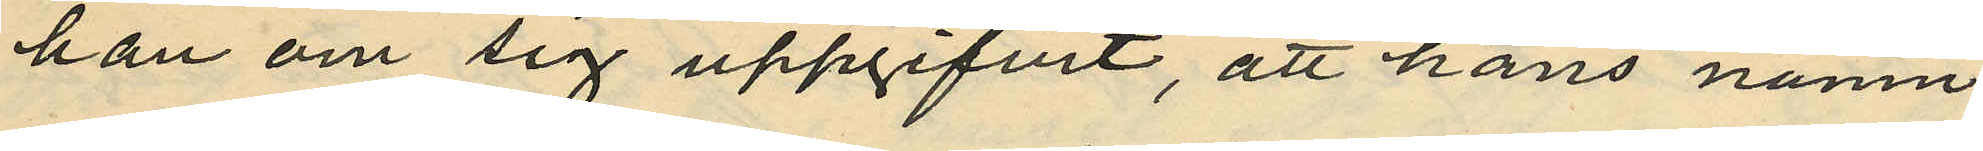han om sig uppgifvit, att hans namn
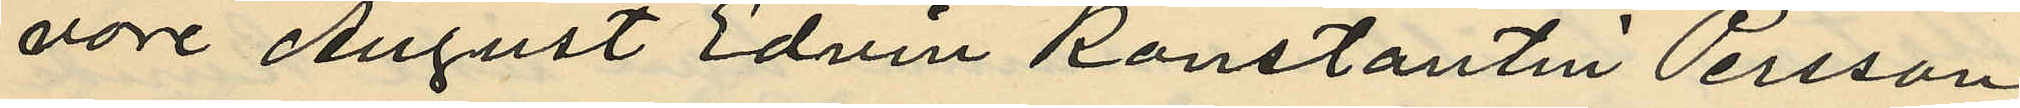vore August Edvin Konstantin Persson;
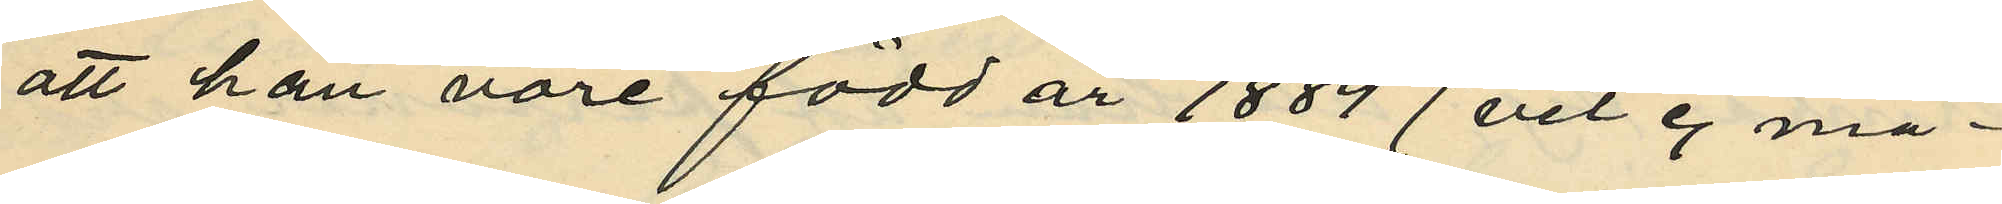att han vore född år 1884 (vet ej må¬
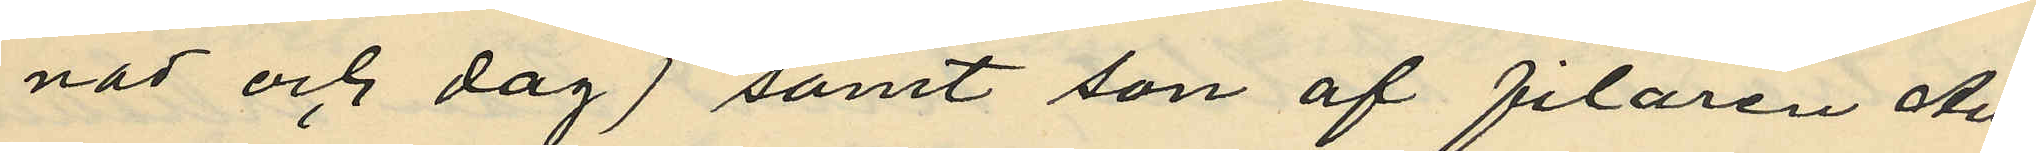nad och dag) samt son af filaren Au¬
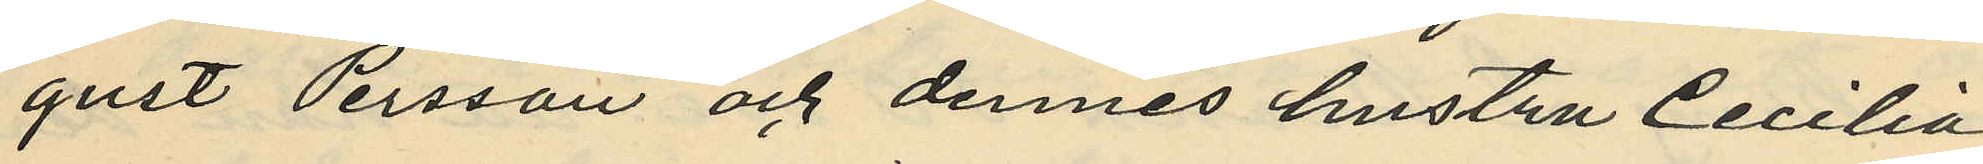gust Persson och dennes hustru Cecilia
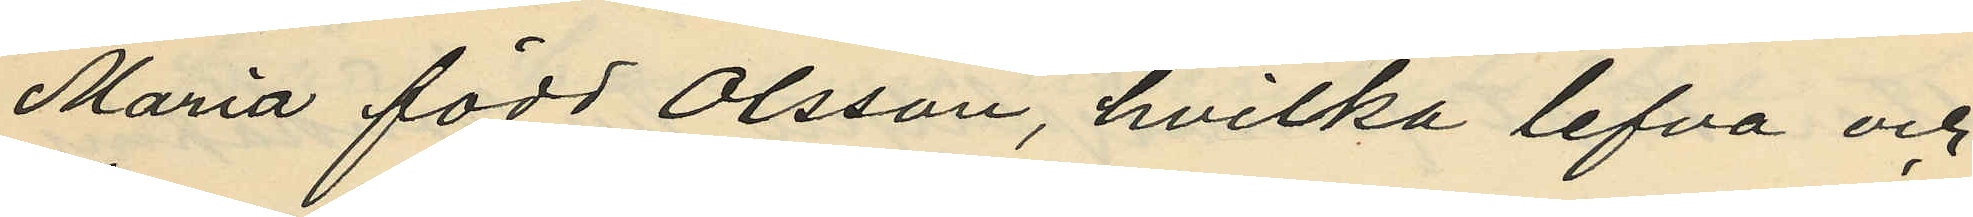Maria född Olsson, hvilka lefva och
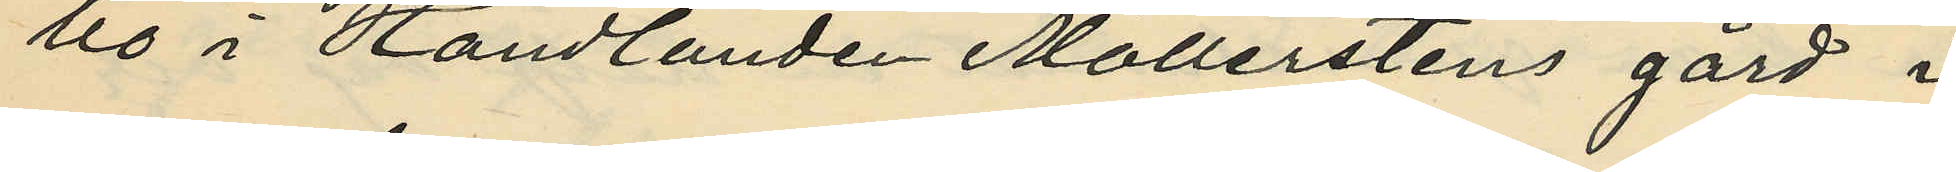bo i Handlanden Möllerstens gård i
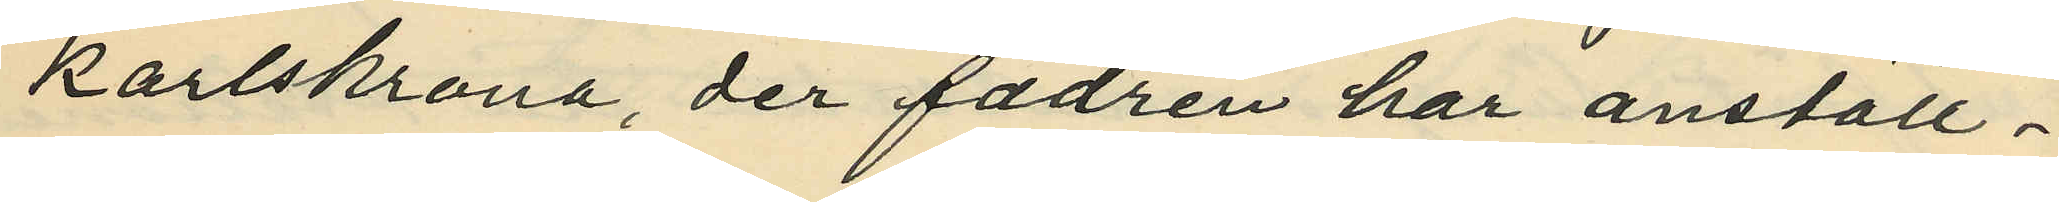Karlskrona, der fadren har anställ¬
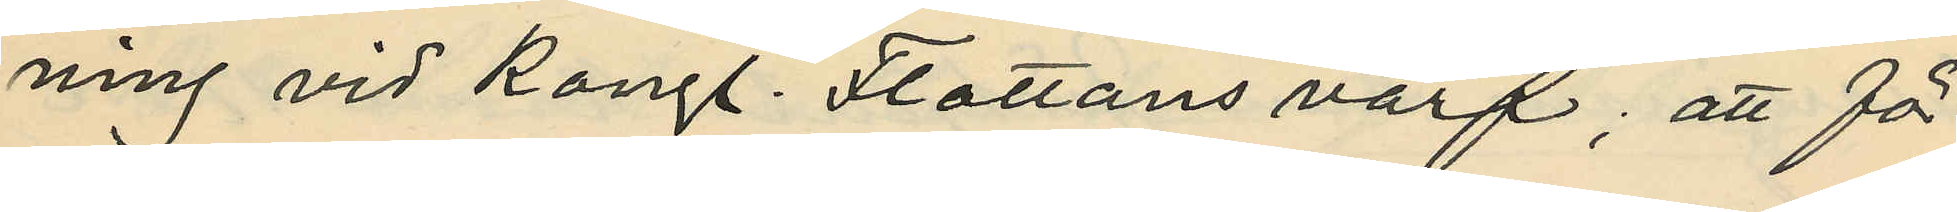ning vid Kongl. Flottans varf; att för
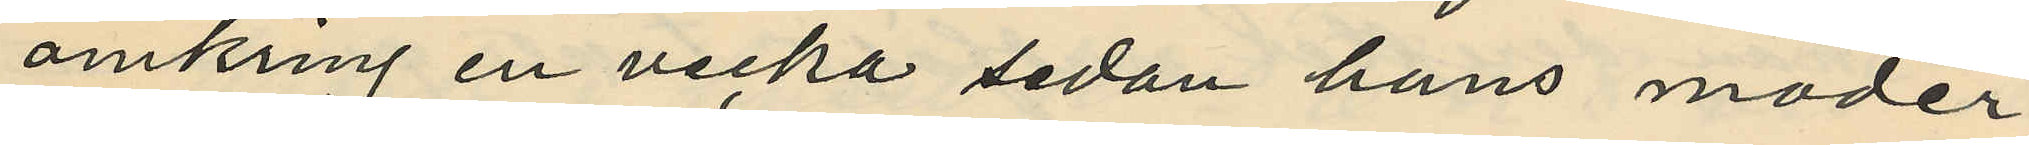omkring en vecka sedan hans moder
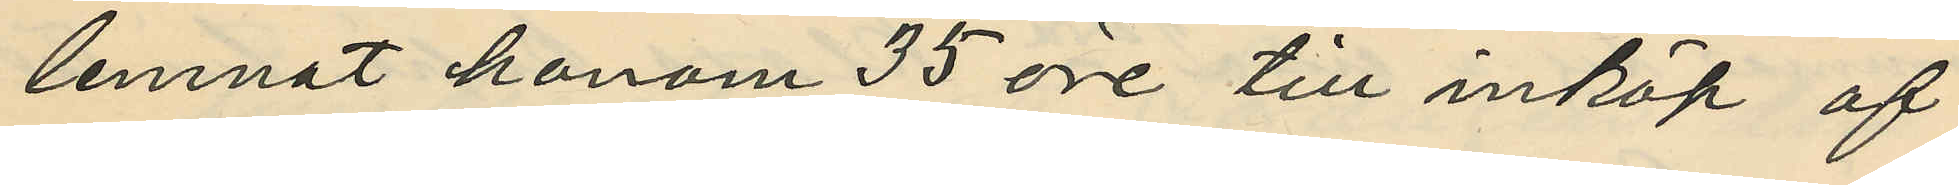lemnat honom 35 öre till inköp af
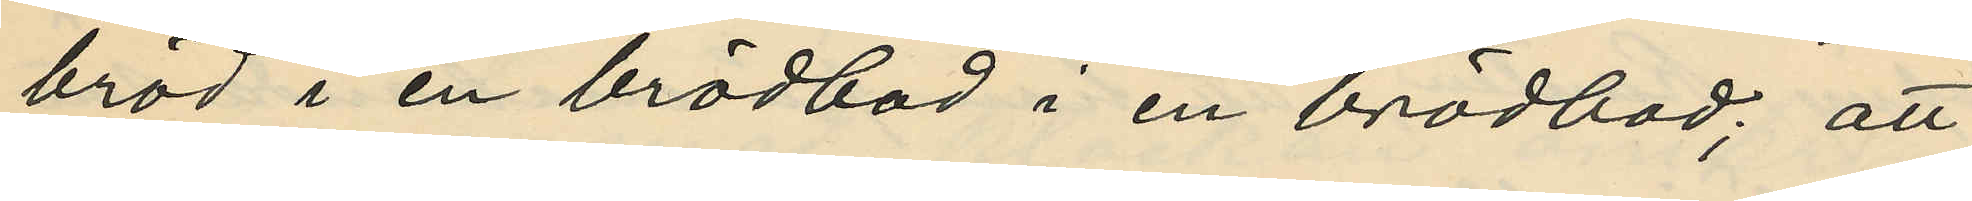bröd i en brödbod i en brödbod; att
